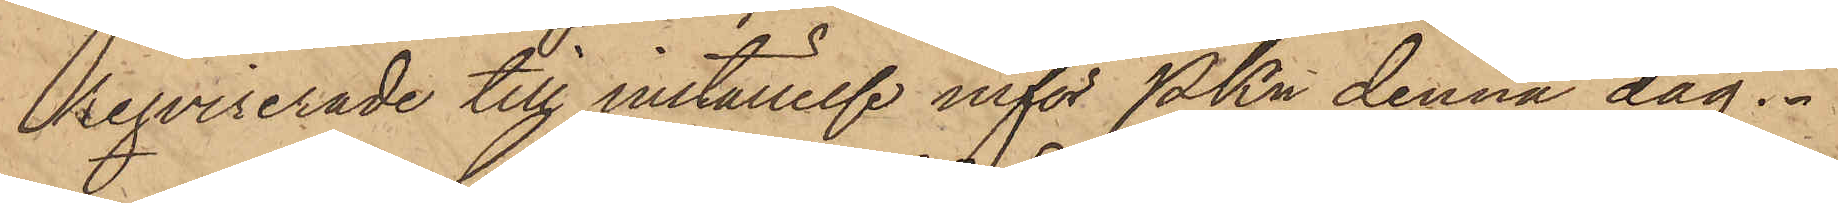reqvirerade till inställelse inför Pkn denna dag.
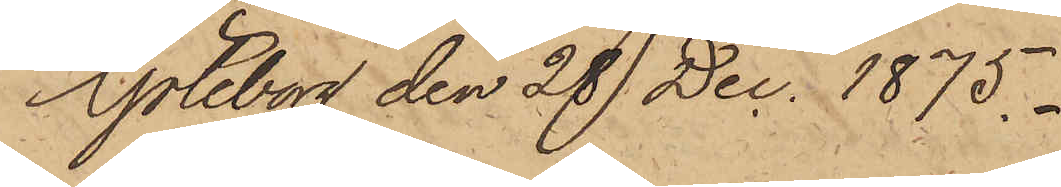Göteborg den 28 Dec. 1875.
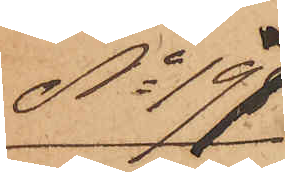No 197
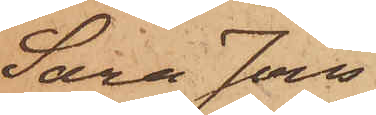Sara Jons¬
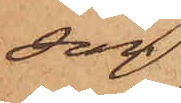son
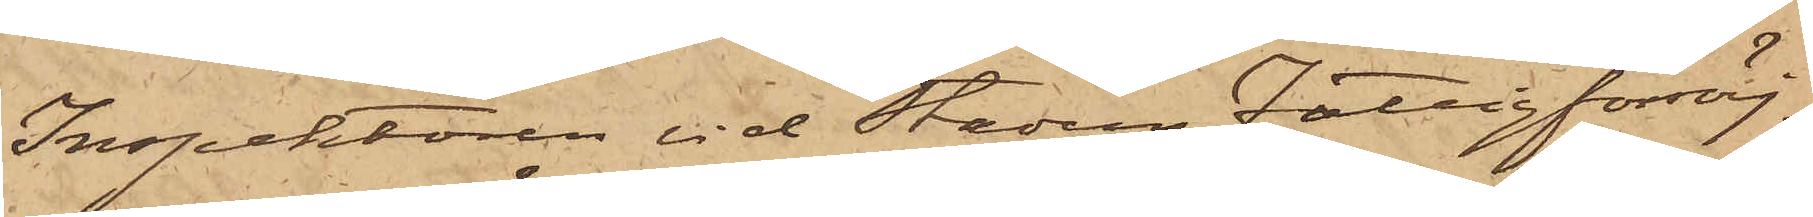Inspektoren vid Stadens Fattigförsörj¬
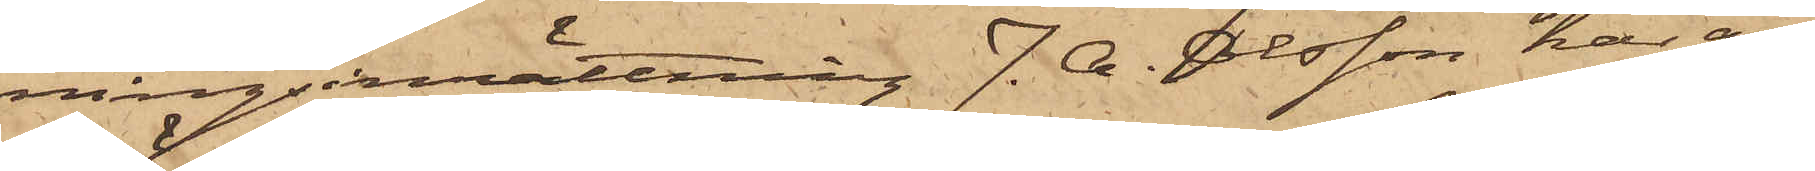ningsinrättning J. A. Olsson har an¬
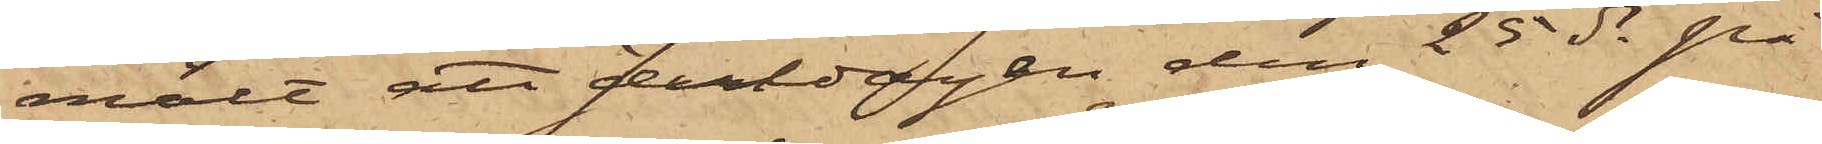mält att Juldagen den 25 ds på
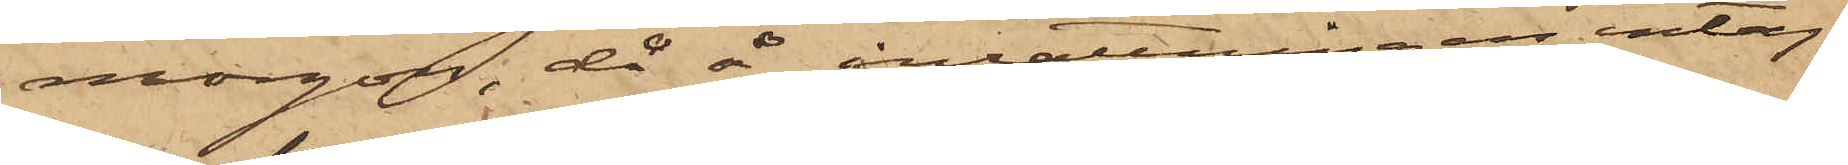morgon, då å inrättningar intag¬
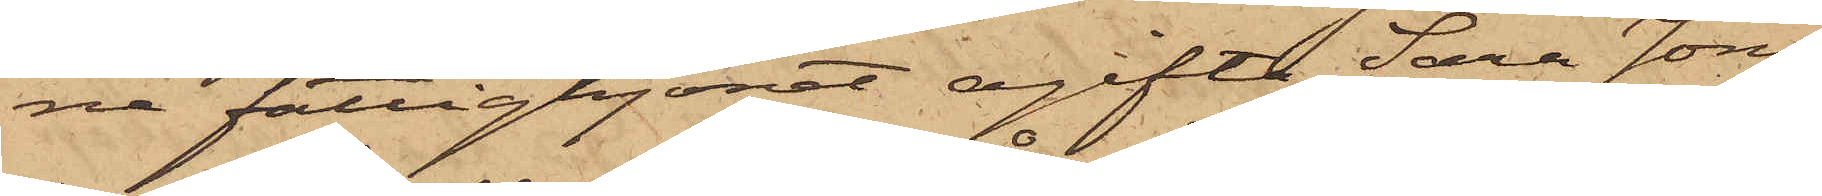na fattighjonet ogifta Sara Jons¬
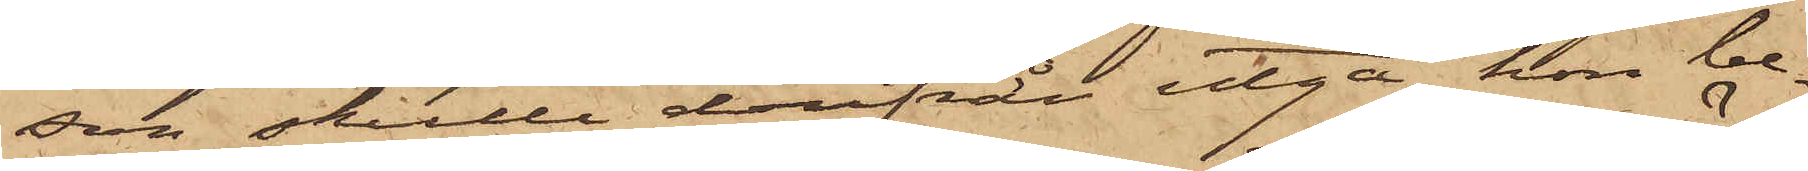son skulle derifrån utgå, hon be¬
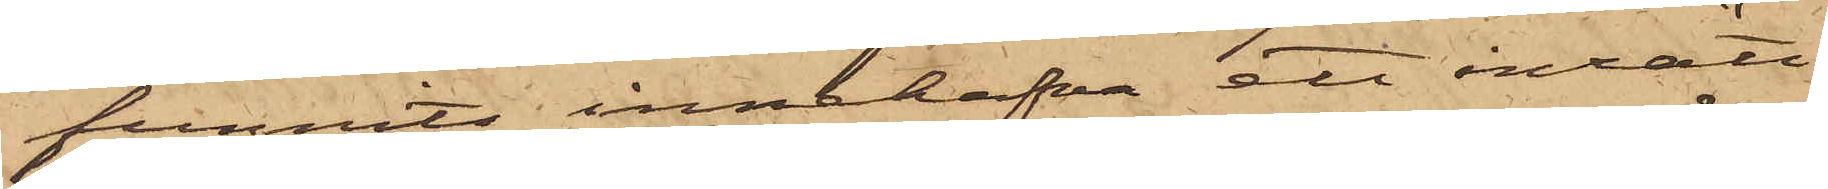funnits innehafva ett inrätt¬
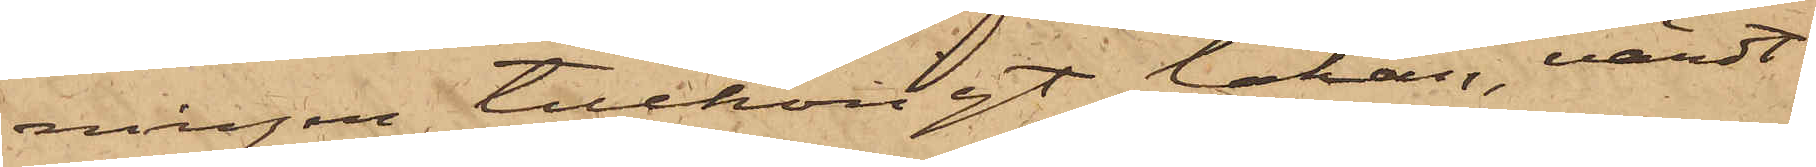ningen tillhörigt lakan, värdt
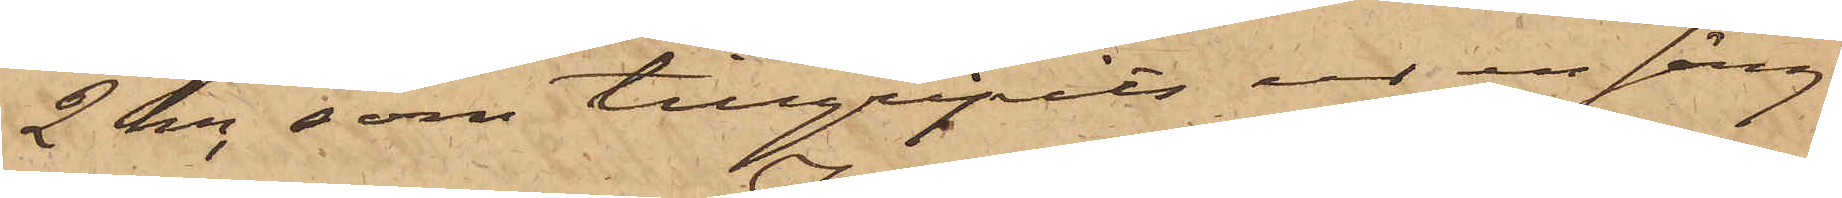2 kr, som tillgripits ur en säng
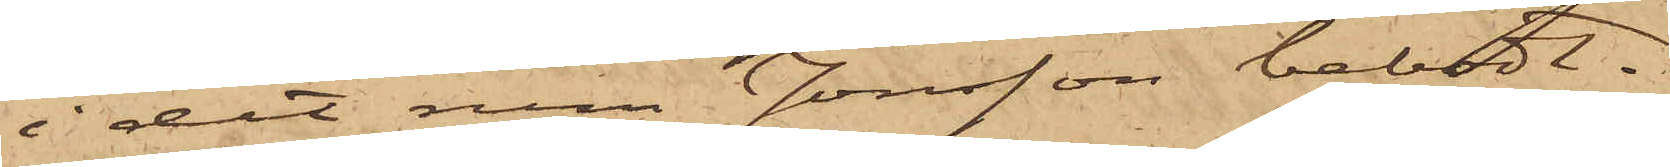i det rum Jonsson bebodt.
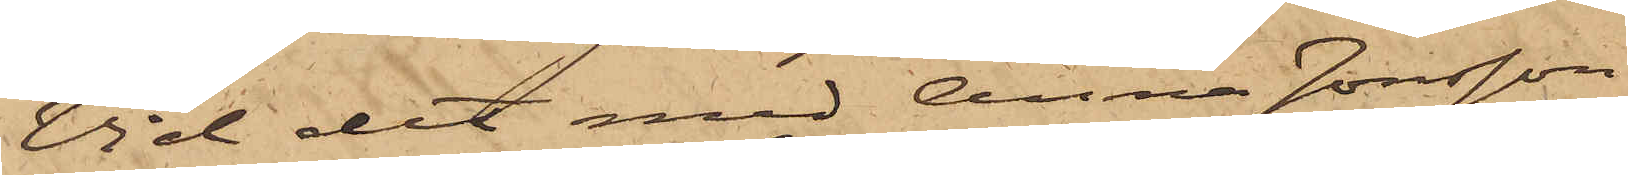Vid det med Anna Jonsson
